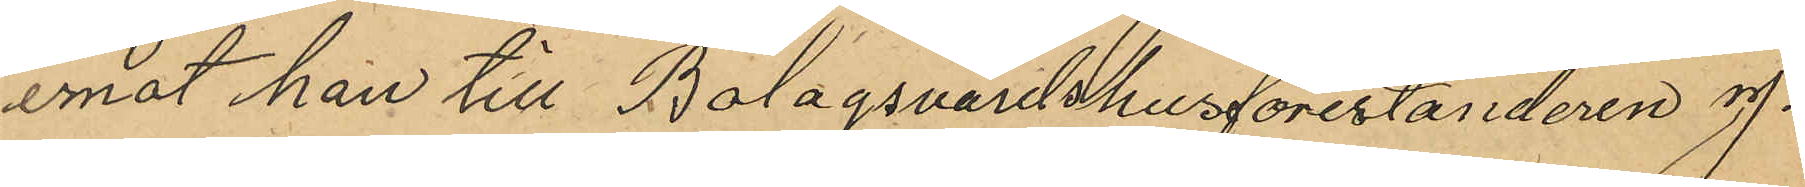emot han till Bolagsvärdshusföreståndaren J.
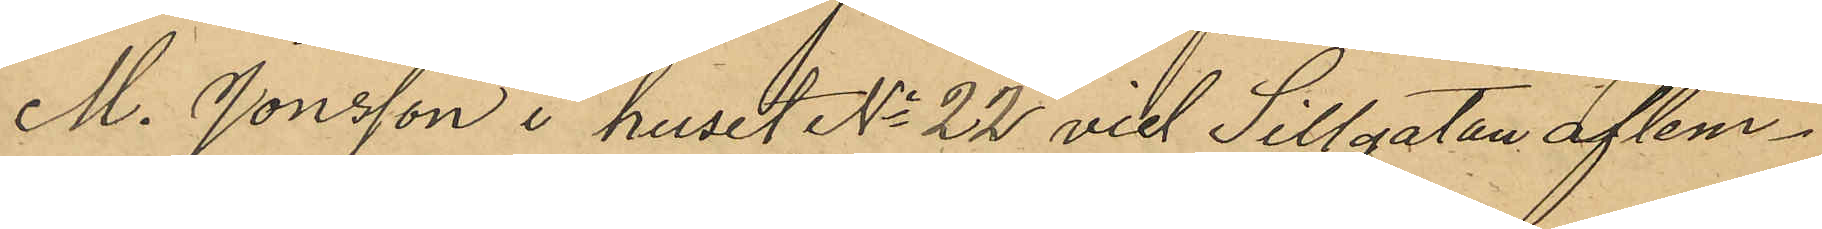M. Jonsson i huset No 22 vid Sillgatan aflem¬
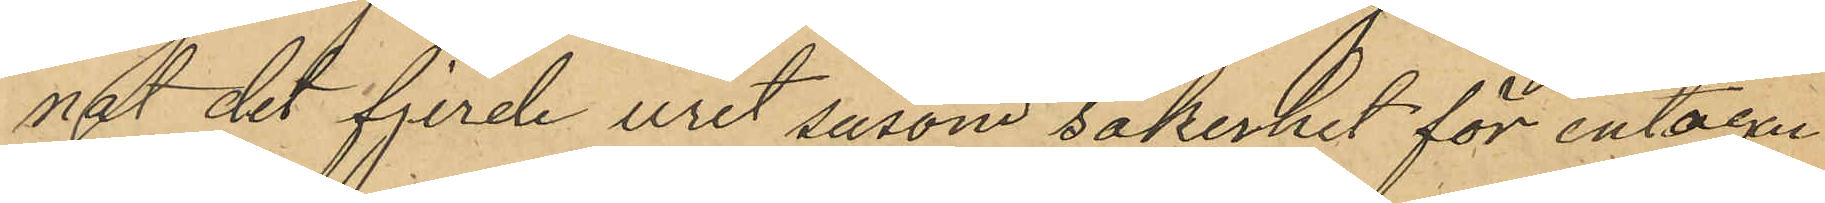nat det fjerde uret såsom säkerhet för intagen
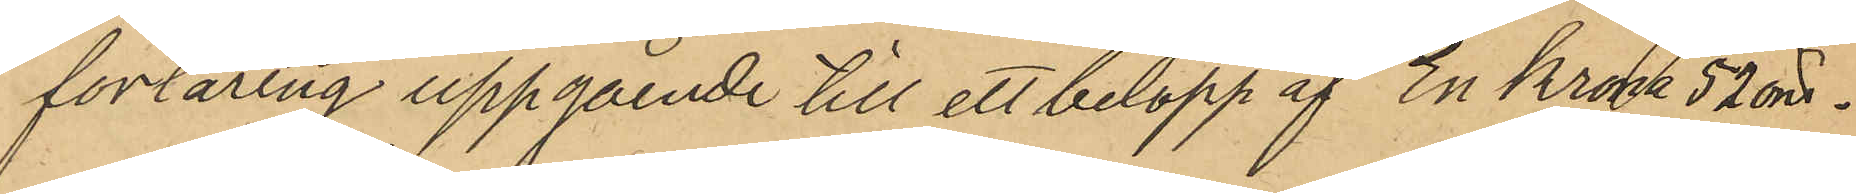förtäring uppgående till ett belopp af En krona 57 öre.
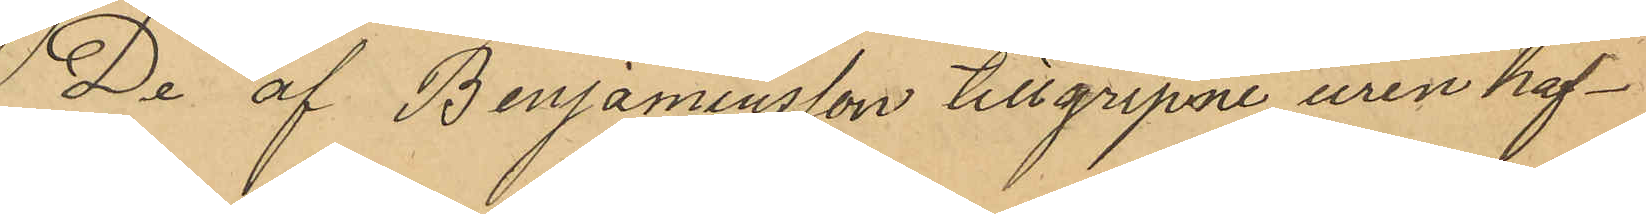De af Benjaminsson tillgripne uren haf¬
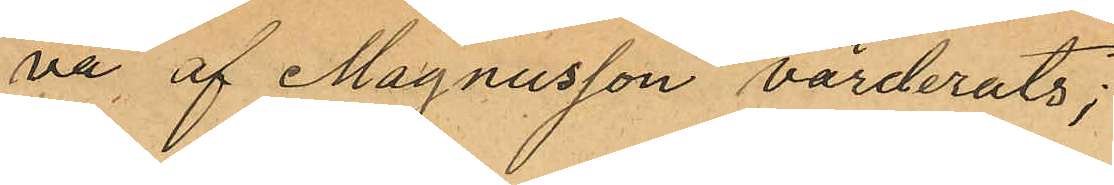va, af Magnusson värderats;
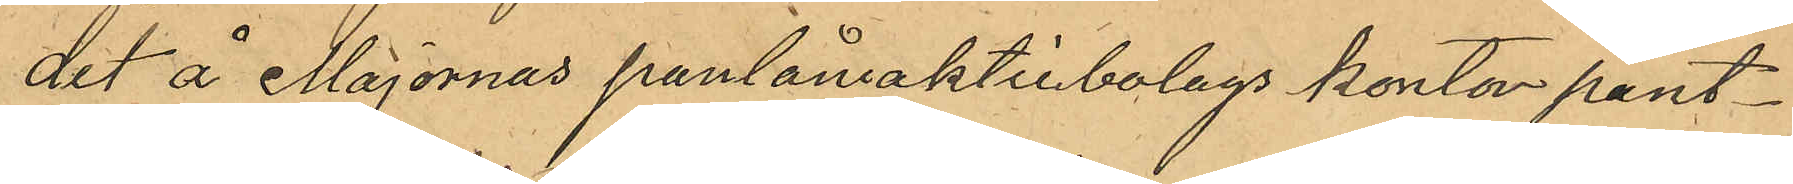det å Majornas pantlåneaktiebolags kontor pant¬
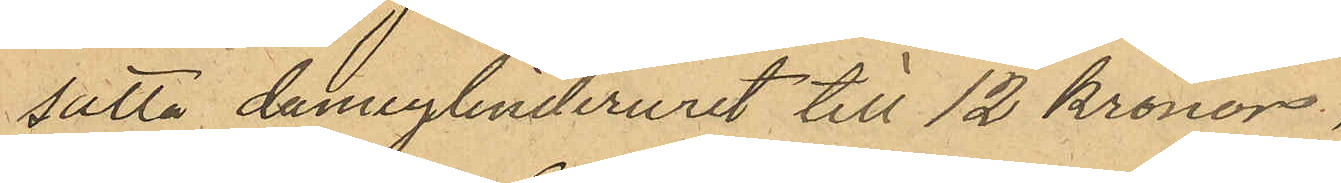satta damcylinderuret till 12 kronor.
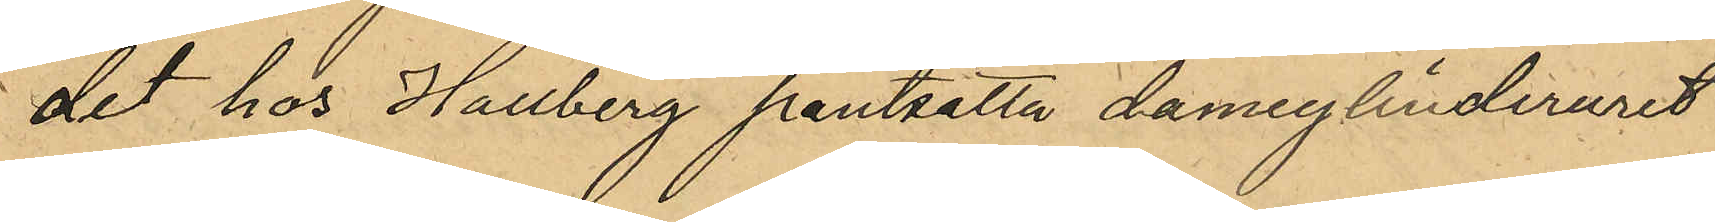det hos Hallberg pantsatta damcylinderuret
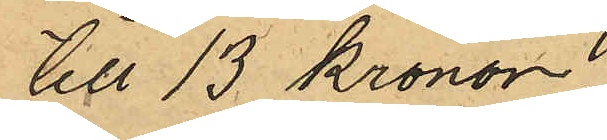till 13 kronor,
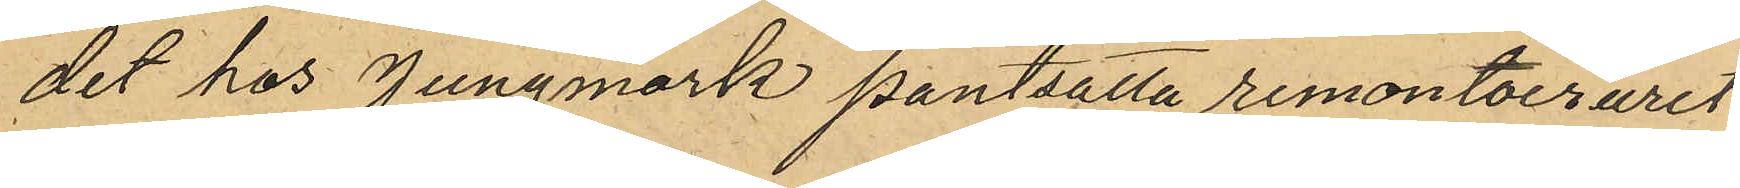det hos Jungmark pantsatta remontoiruret
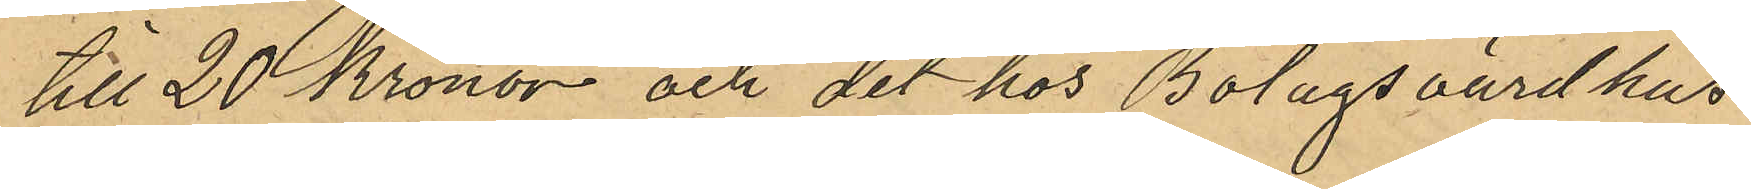till 20 kronor och det hos Bolagsvärdhus¬
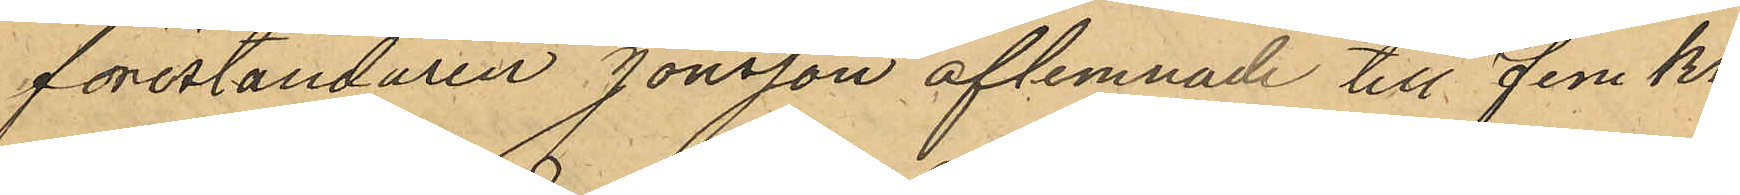föreståndaren Jonsson aflemnade till Fem kr.
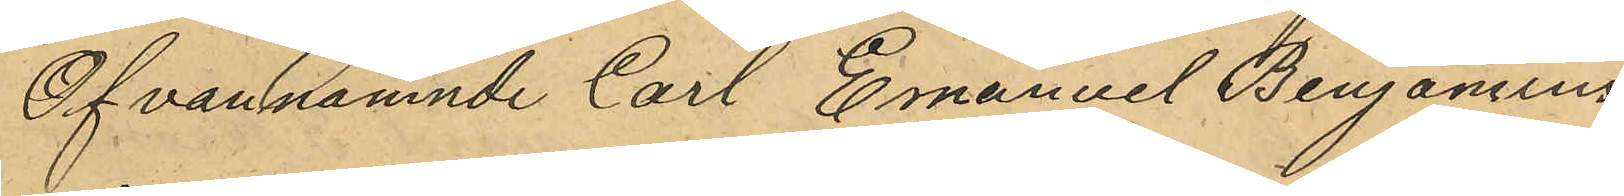Ofvannämnde Carl Emanuel Benjamins
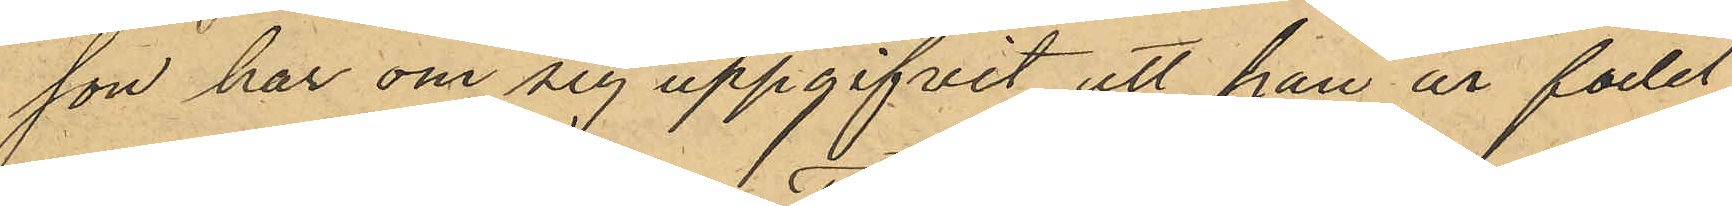son har om sig uppgifvit att han är född
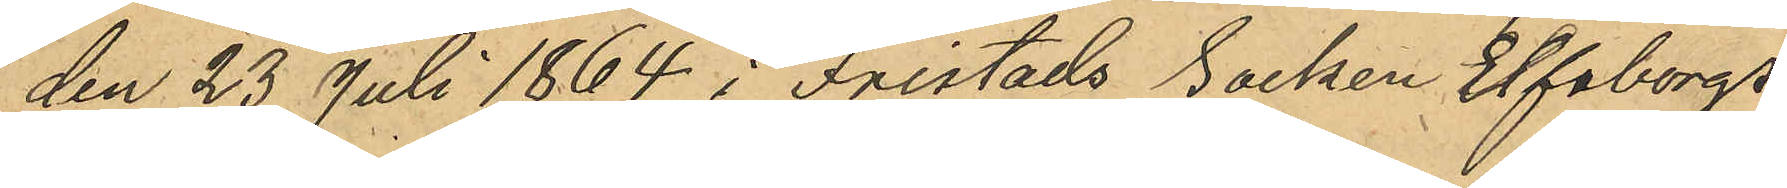den 23 Juli 1864 i Fristads Socken Elfsborgs
